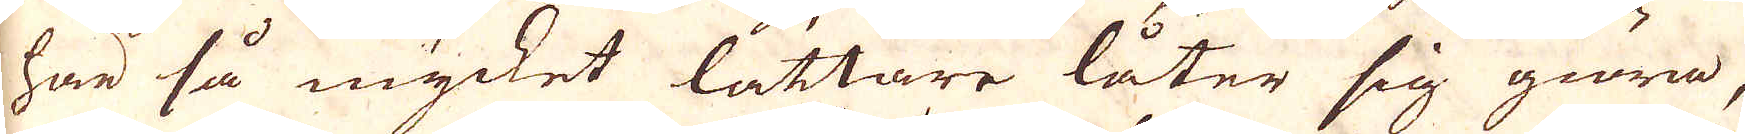här så mycket lättare låter sig giöra,
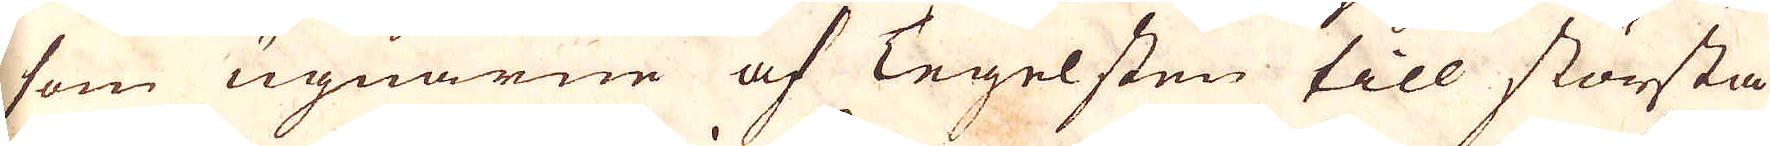som ugnarne af Tegelsten till största
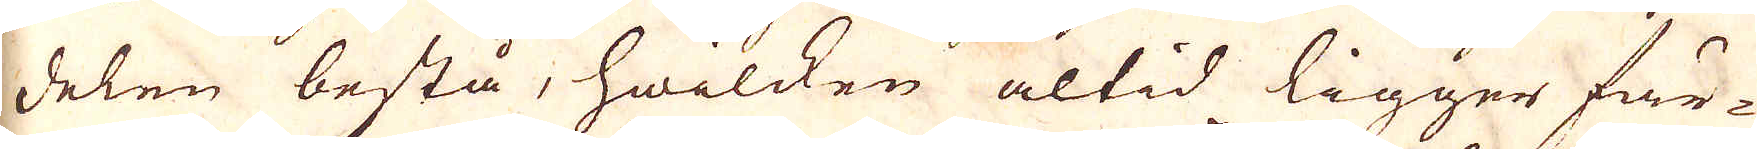delen bestå, hwilken altid ligger fär-
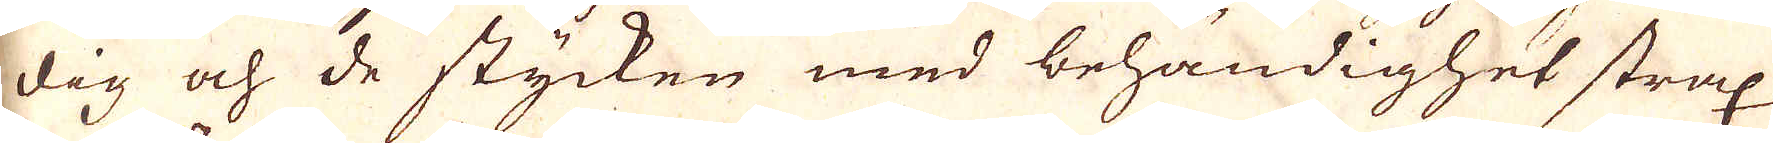dig och de stycken med behändighet strax
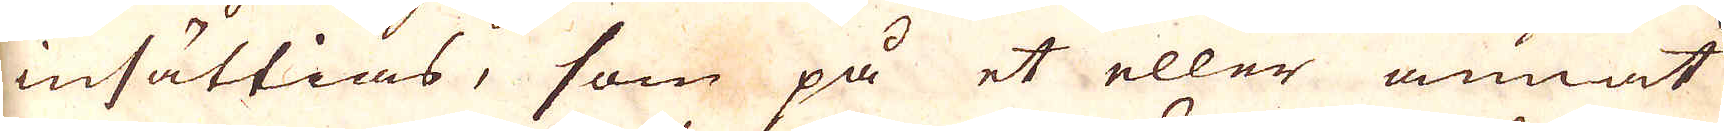insättias, som på et eller annat
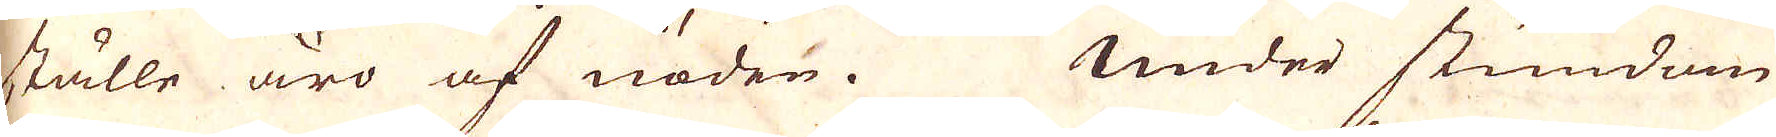ställe äro af nöden. Under stundom
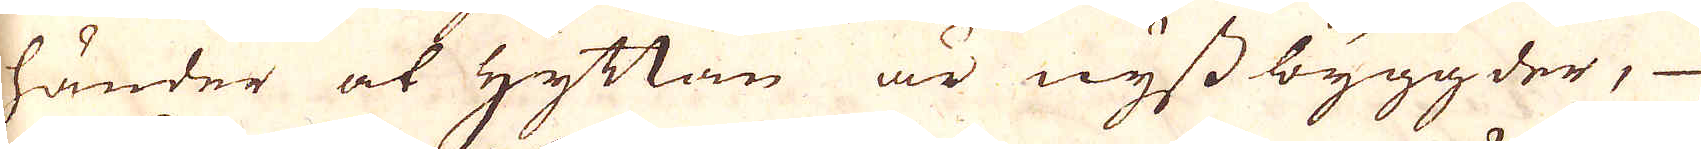händer at Hyttan är nyssbyggder,
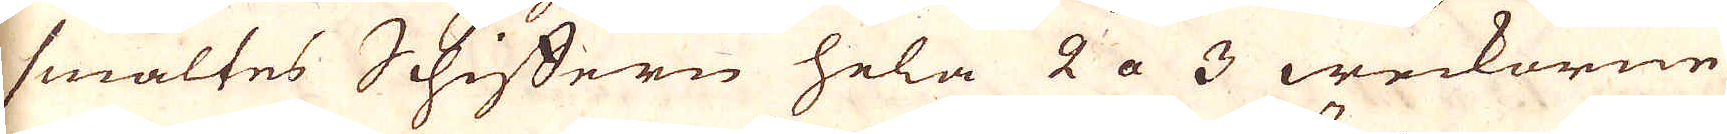smältes Schiftern hela 2 a 3 weckorne
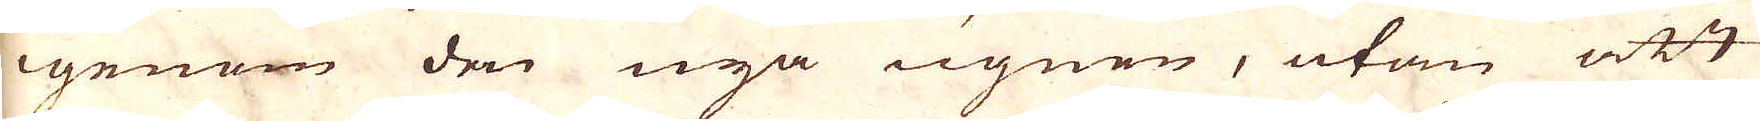igenom den nya ugnen, utan att
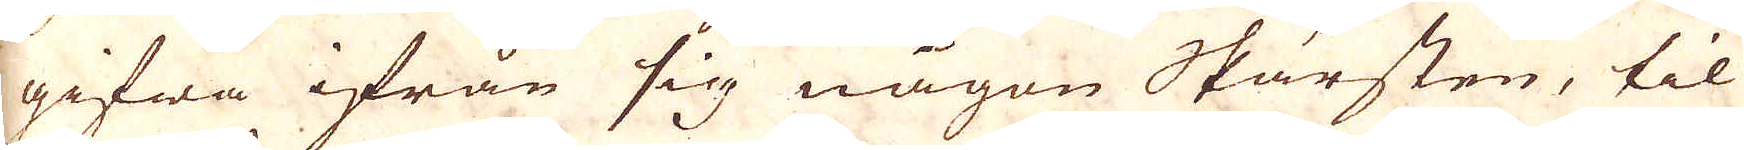gifwa ifrån sig någon Skärsten, til
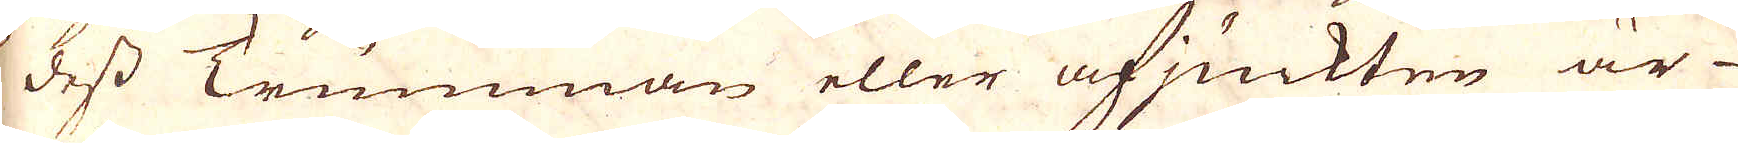dess Trumman eller afjuckten är
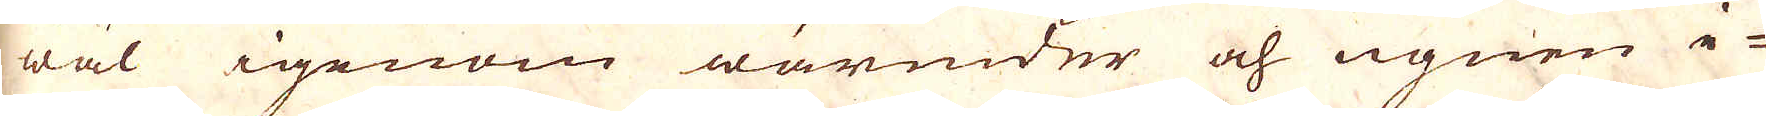wäl igenom wärmder och ugnen i-
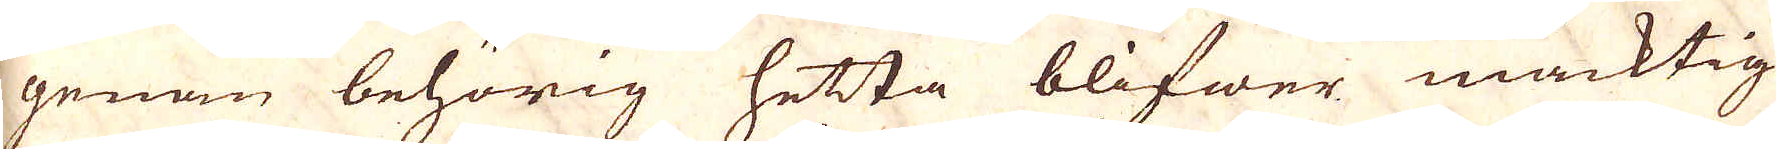genan behörig hetta blifwer mäcktig
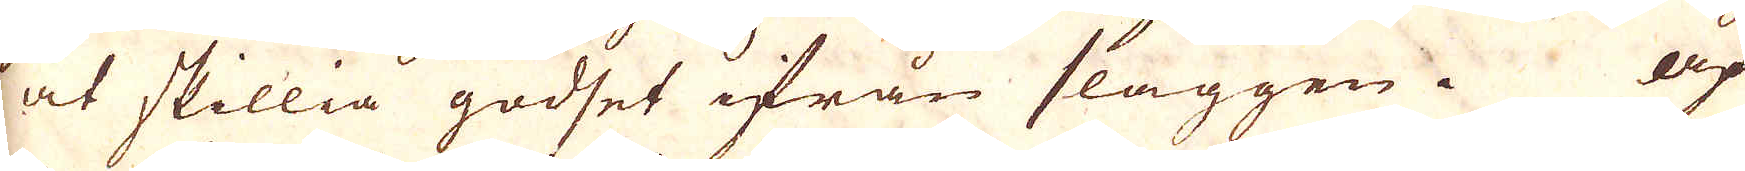at skillia godset ifrån slaggen. Af
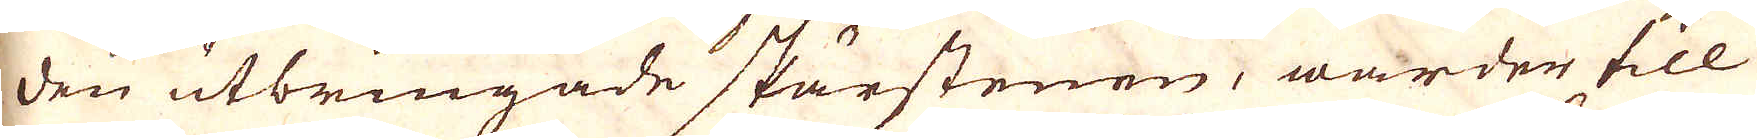den utbringade skärstenen, warder till
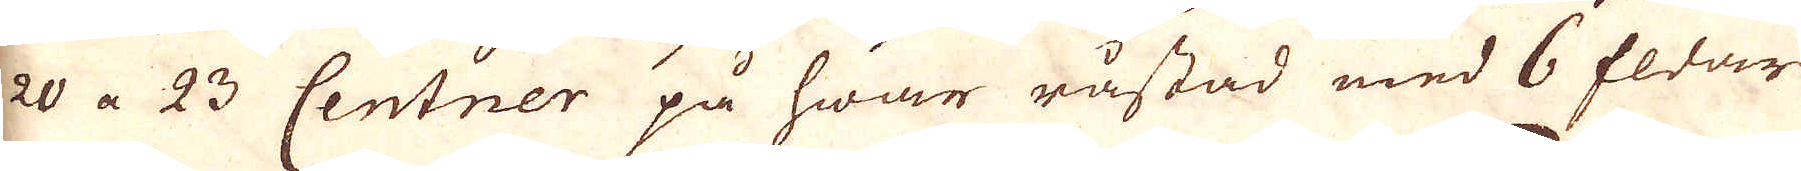20 a 23 Centner på hwar råstad med 6 fldar
